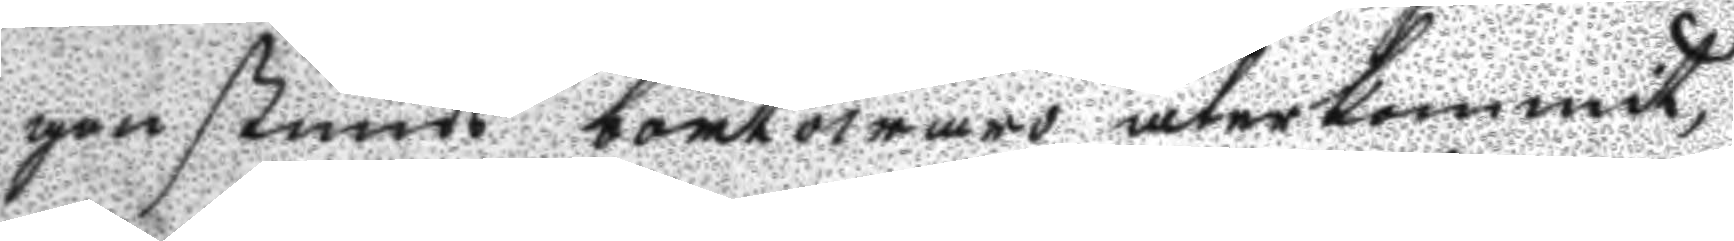gon stunds bortowaro återkommit
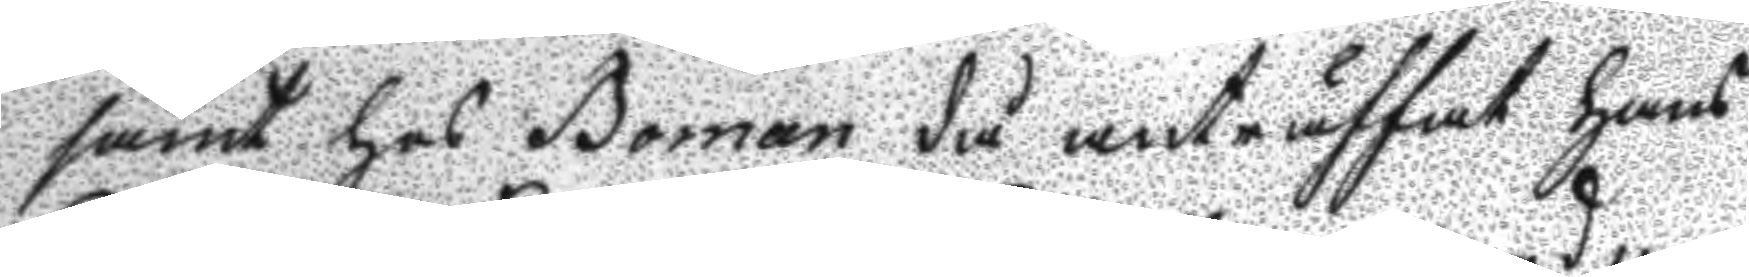samt hos Boman då anträffat Hans
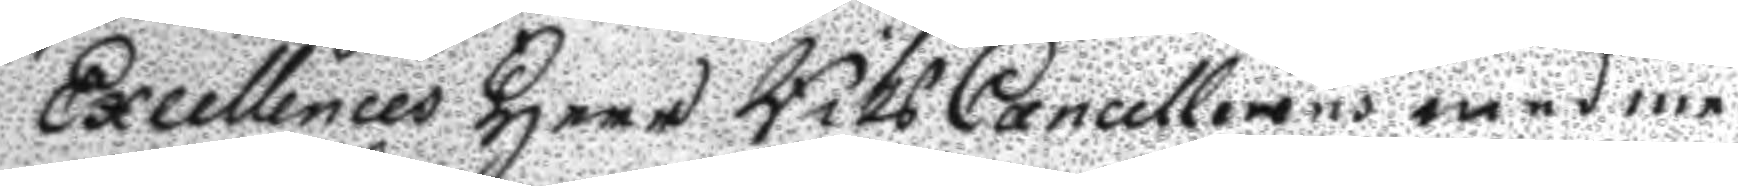Excellences Herr RiksCancellerens med me¬
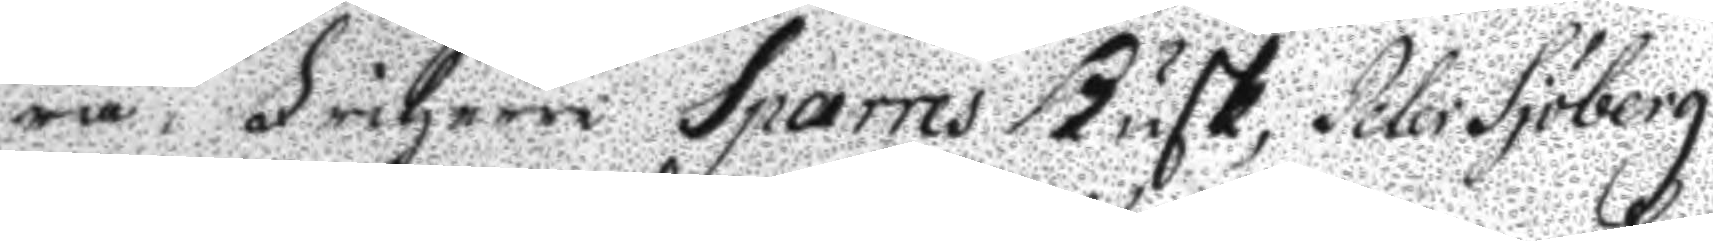ra, Friherre Sparres Kusk, Peter Sjöberg
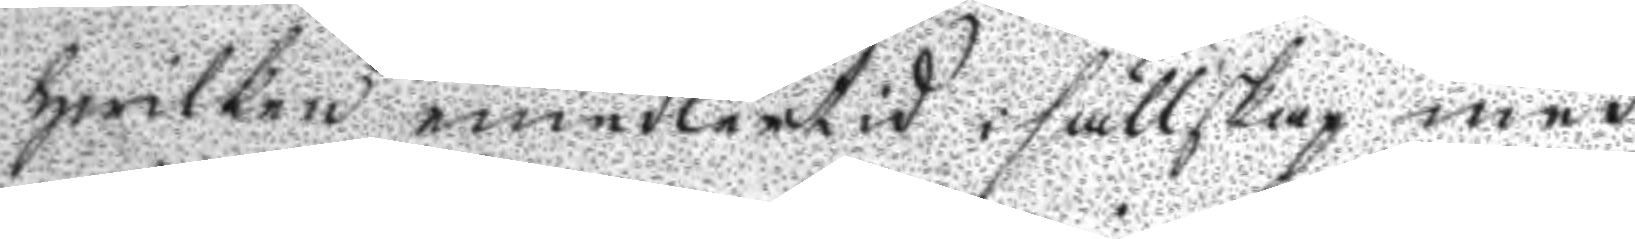hwilken emedlertid i sällskap med
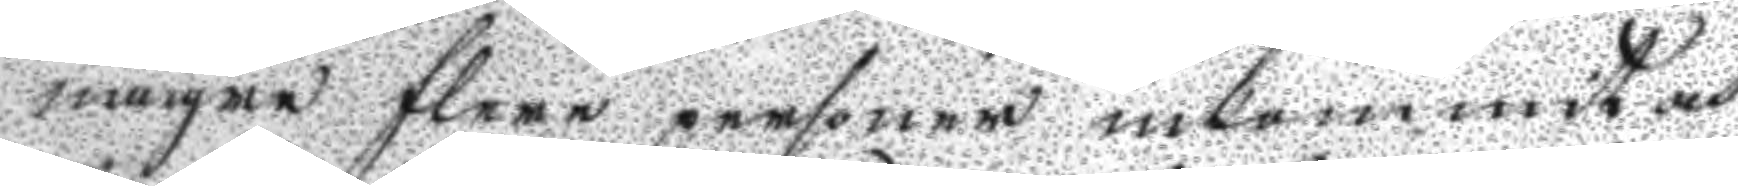någre flere personer inkommit och
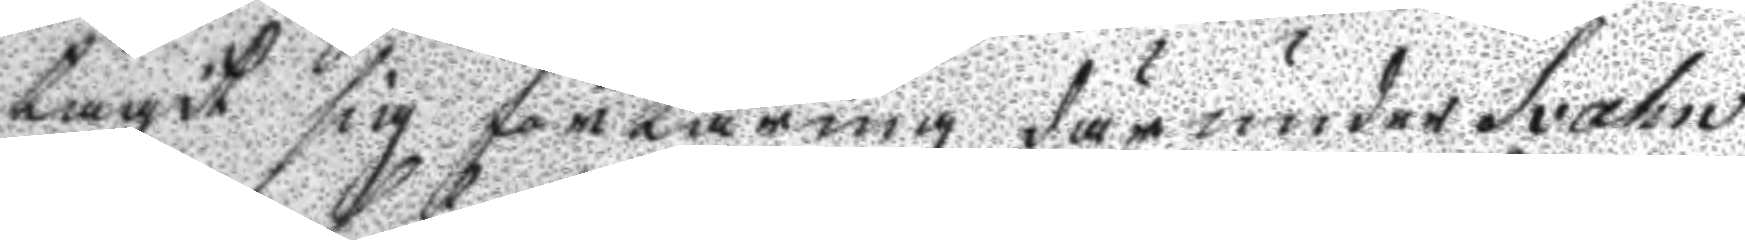tagit sig förtäring där under Svahn
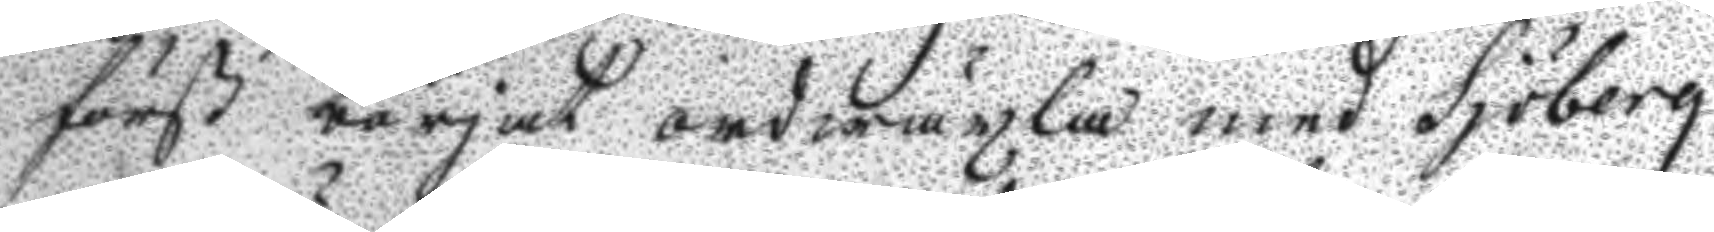först börjat ordwäxla med Sjöberg
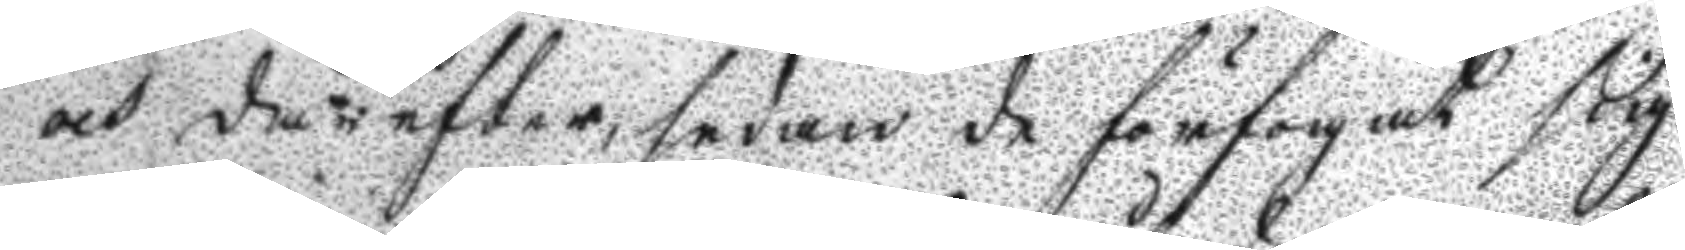och därefter, sedan de förfogat sig
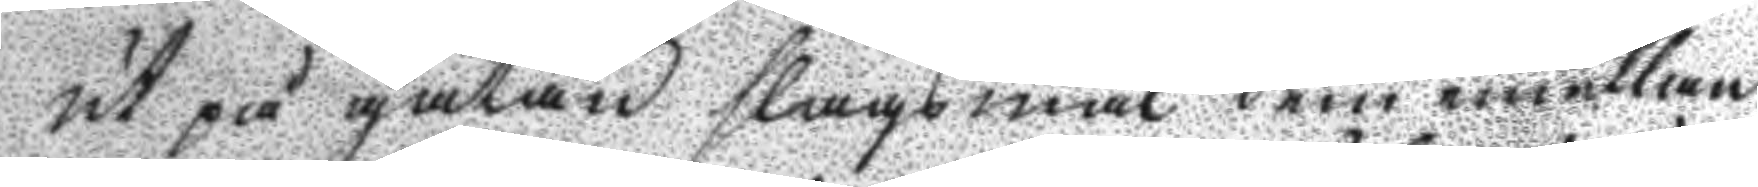ut på gatan slagsmål dem emellan
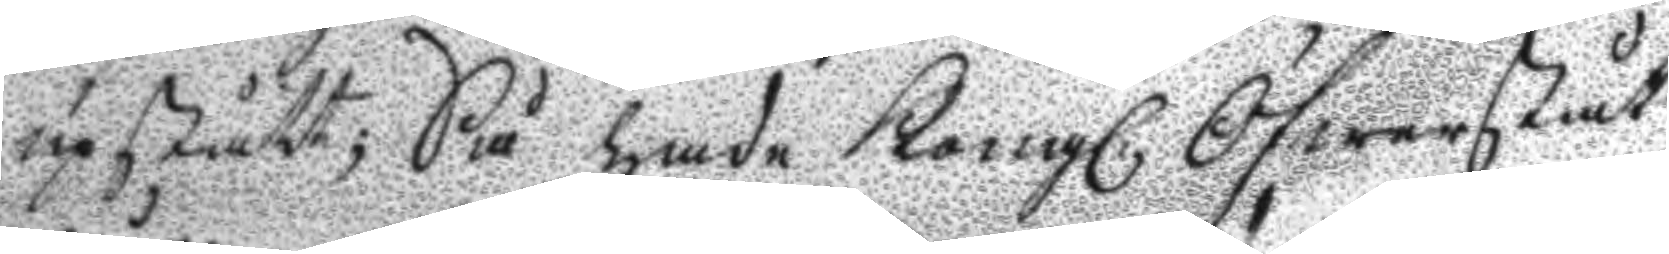upstått; Så hade Kongl. Öfwerståt¬
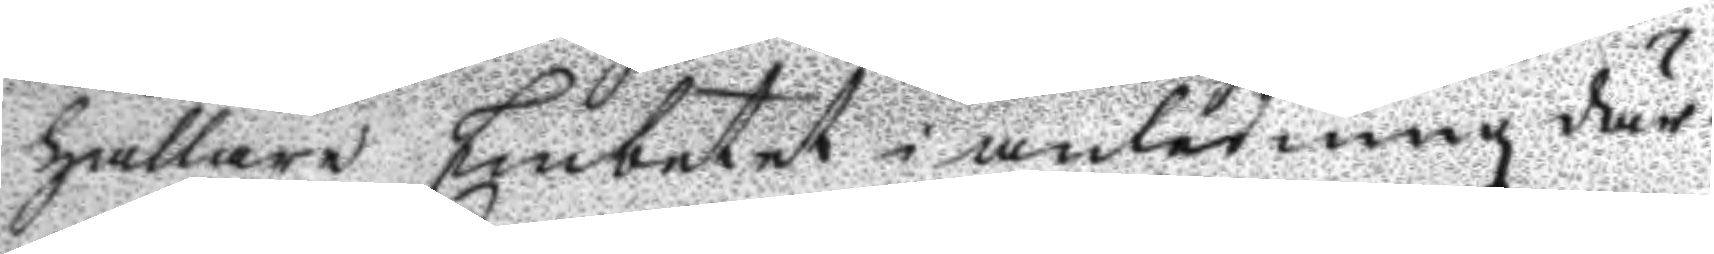hållaren Embetet i anledning där¬
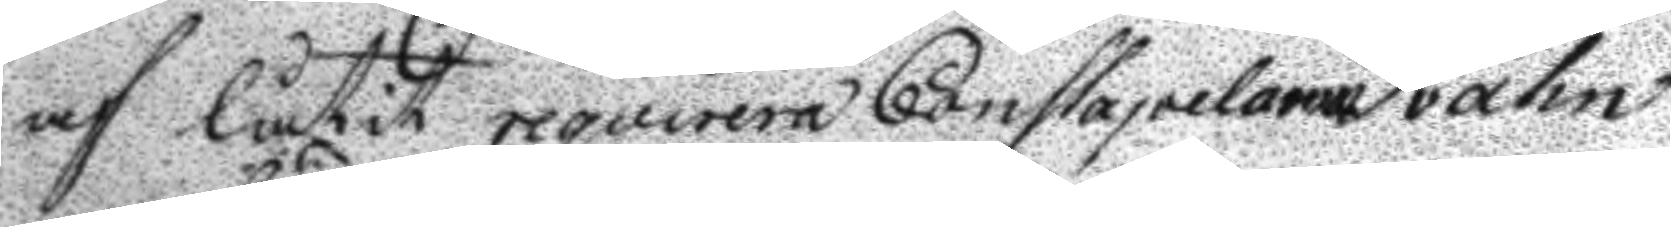af låtit reqvirera Constapelarne Svahn
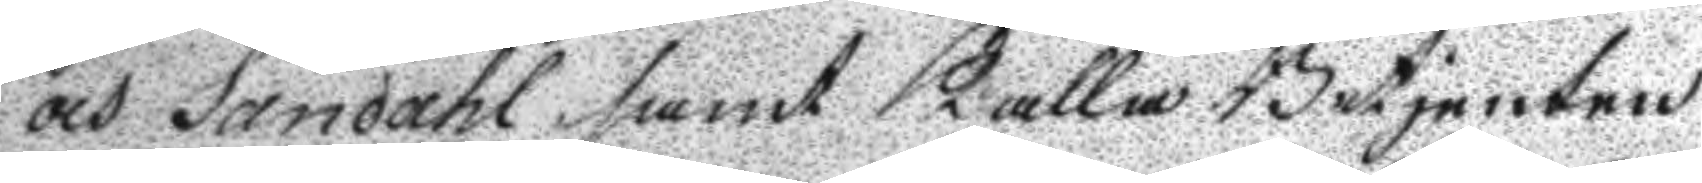och Sandahl samt Kalla Betjenten
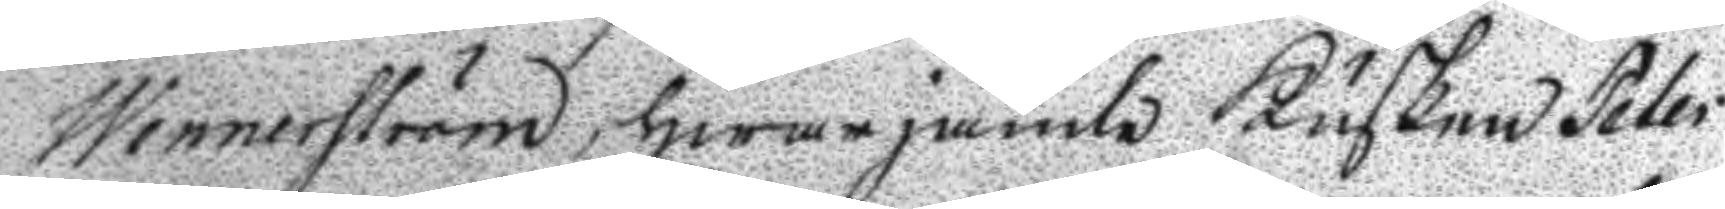Wennerström, hwarjämte Kusken Peter
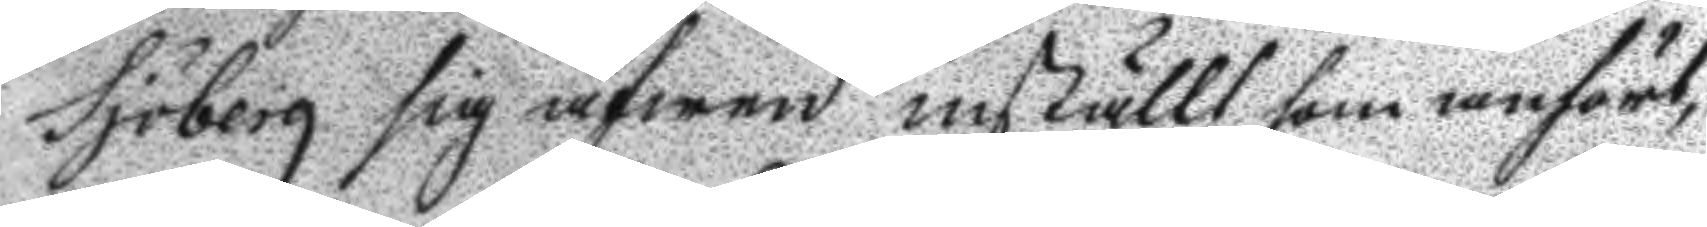Sjöberg sig äfwen inställt som anfört,
